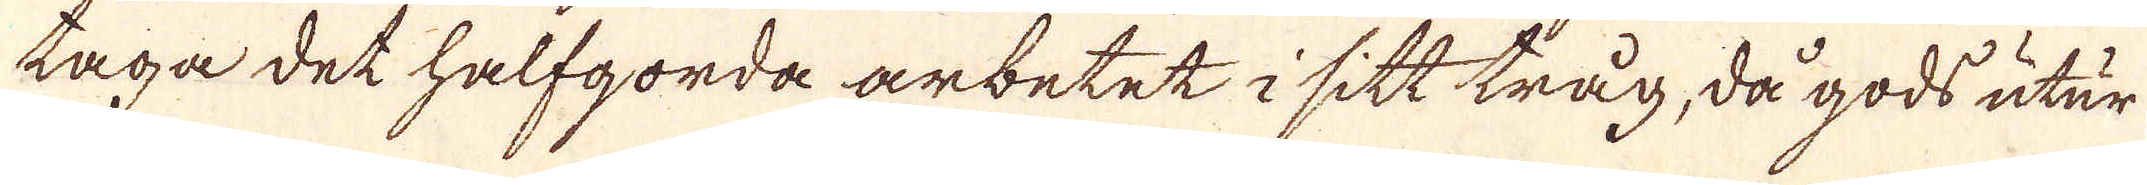taga det halfgorda arbetet i sitt tråg, då gods utur
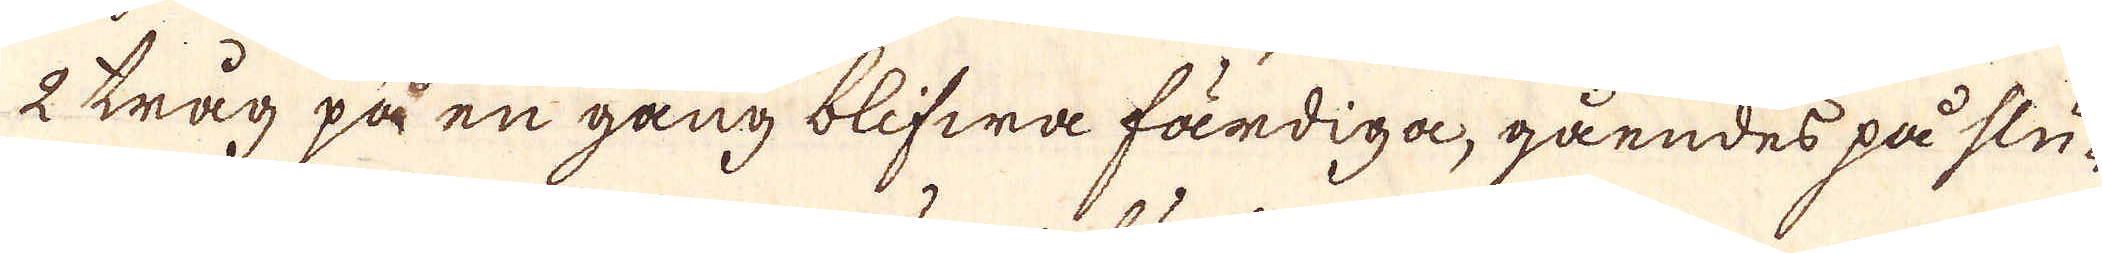2 tråg på en gång blifwa färdiga, gåendes på slu-
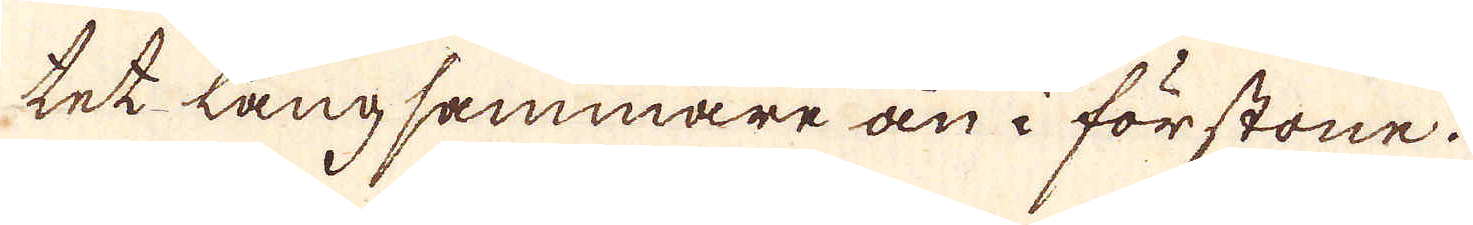tet långsammare än i förstone.
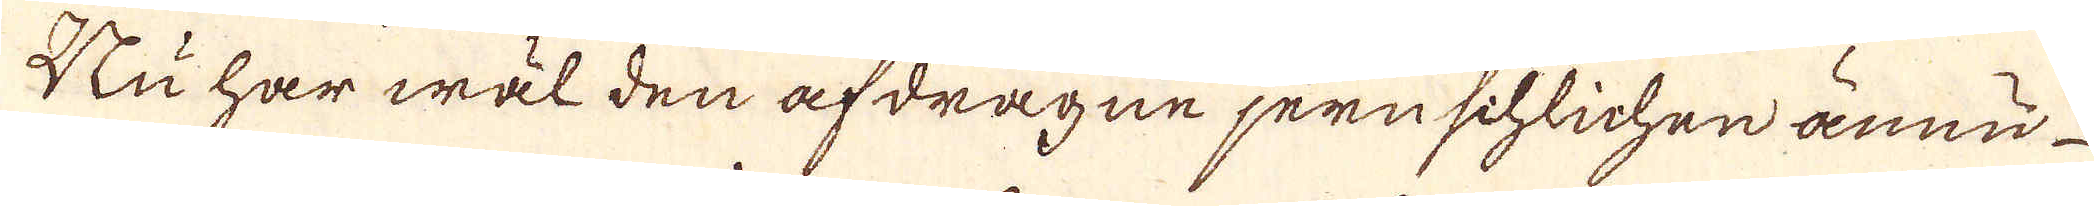Nu har wäl den afdragne jernschlichen ännu
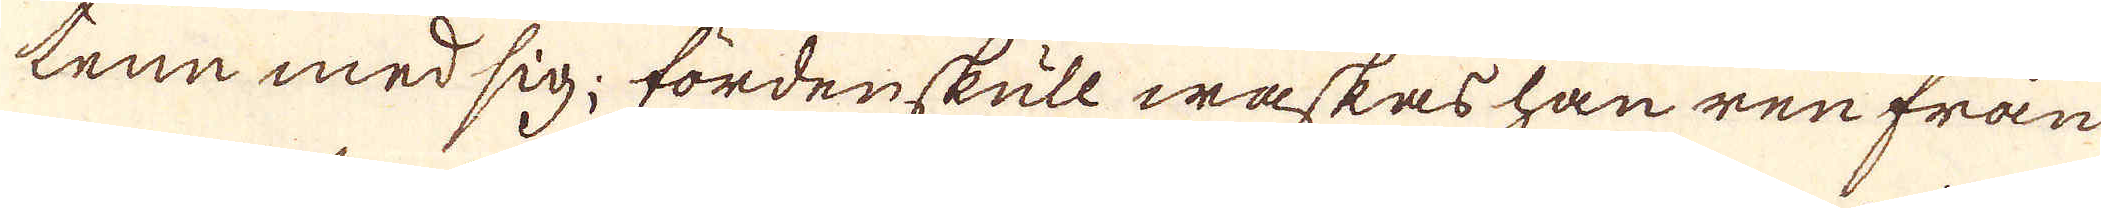tene med sig; fördenskull waskes han ren från
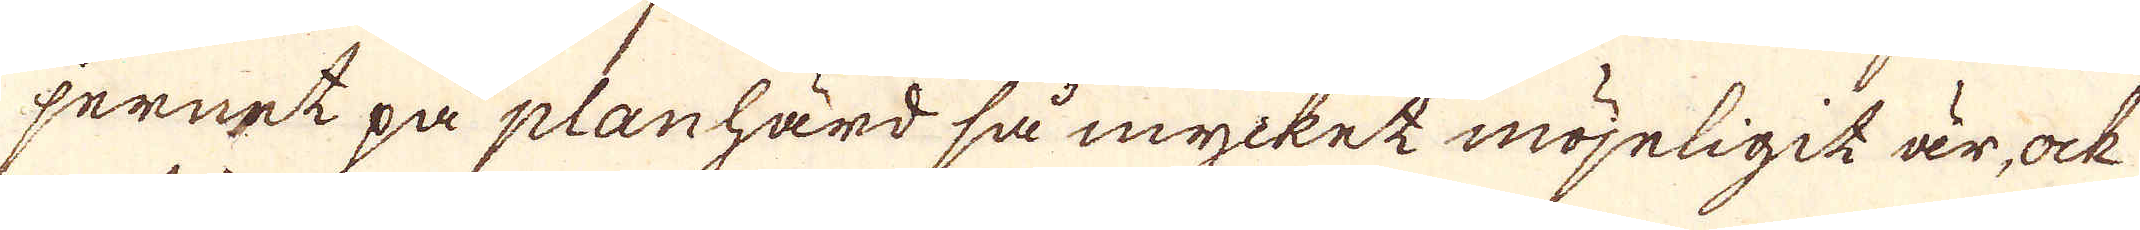jernet på planhärd så mycket möjeligit är, ock
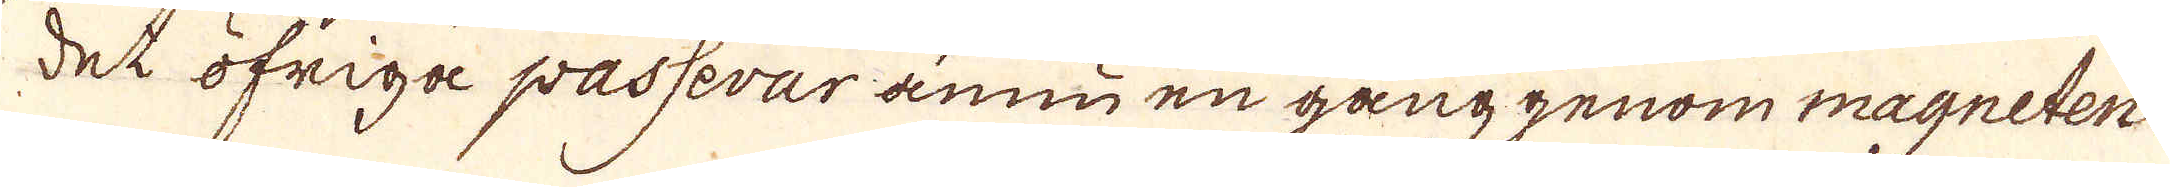det öfriga passerar ännu en gång genom magneten.
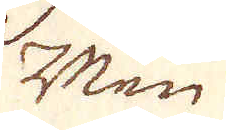Men
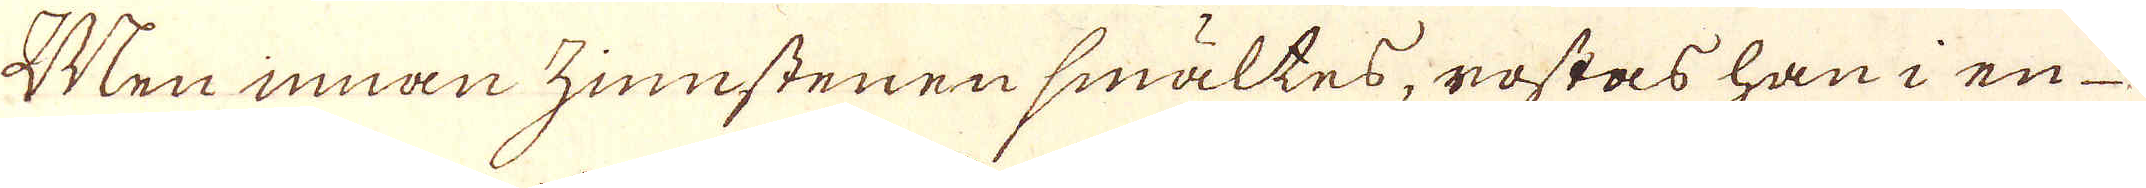Men innan zinnstenen smältes, rostas han i en
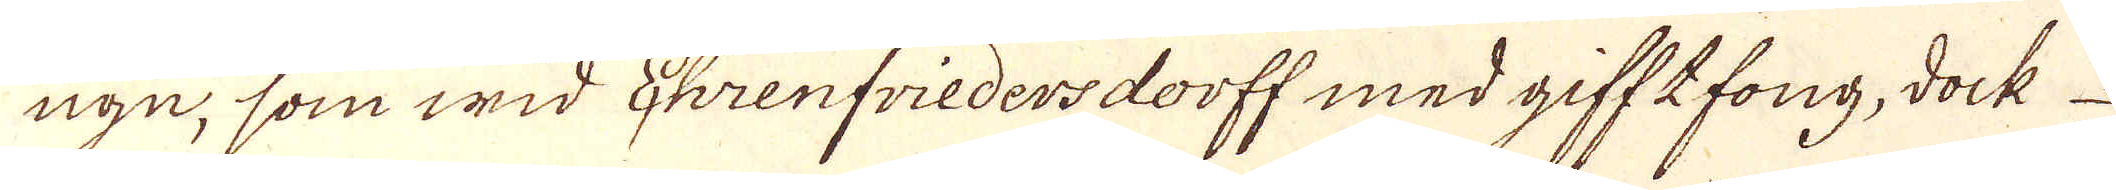ugn, som wid Ehrenfriedersdorff med gifftfong, dock
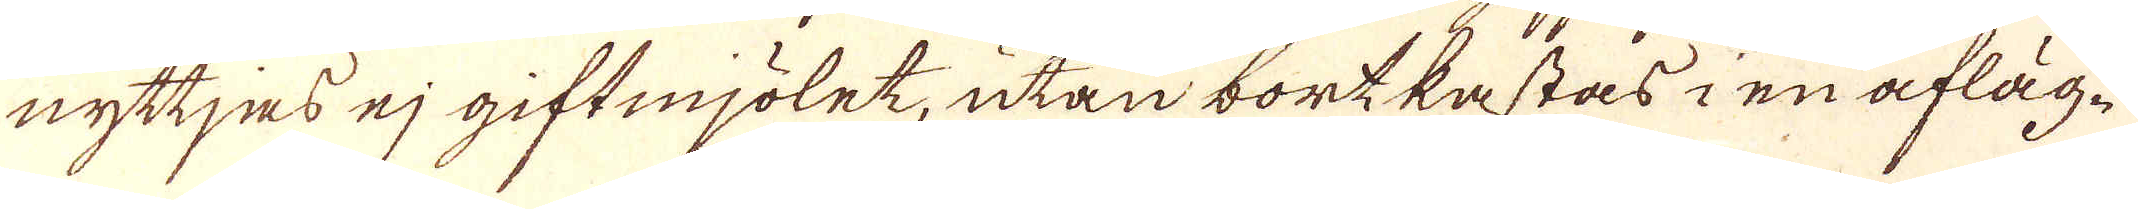nyttjas ej giftmjölet, utan bortkastas i en afläg-
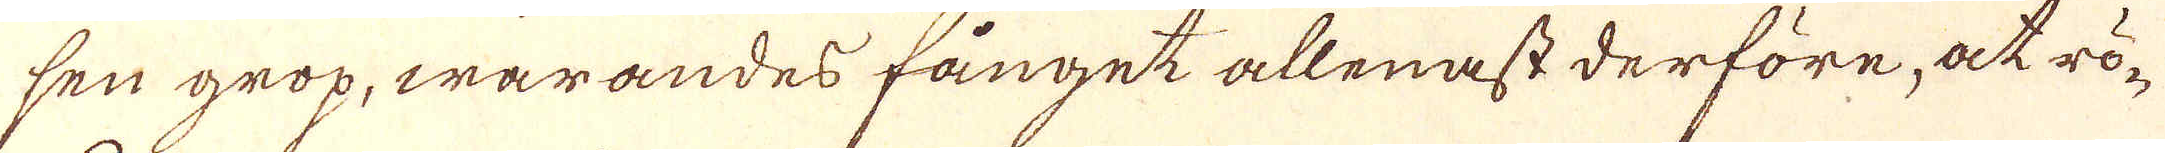sen grop, warandes fånget allenast derföre, at rö-
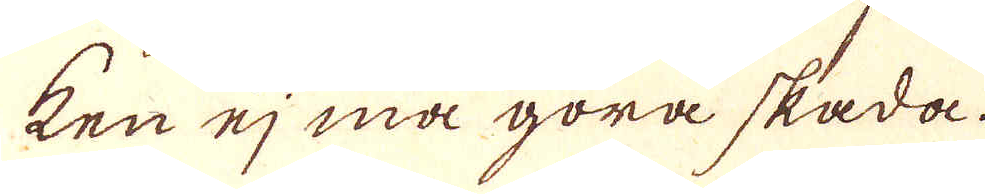ken ej må göra skada.
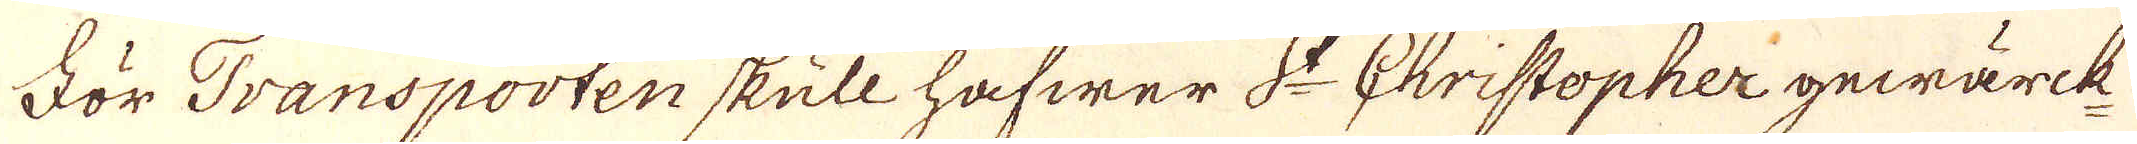För Transporten skull hafwer S:t Christopher gewärck
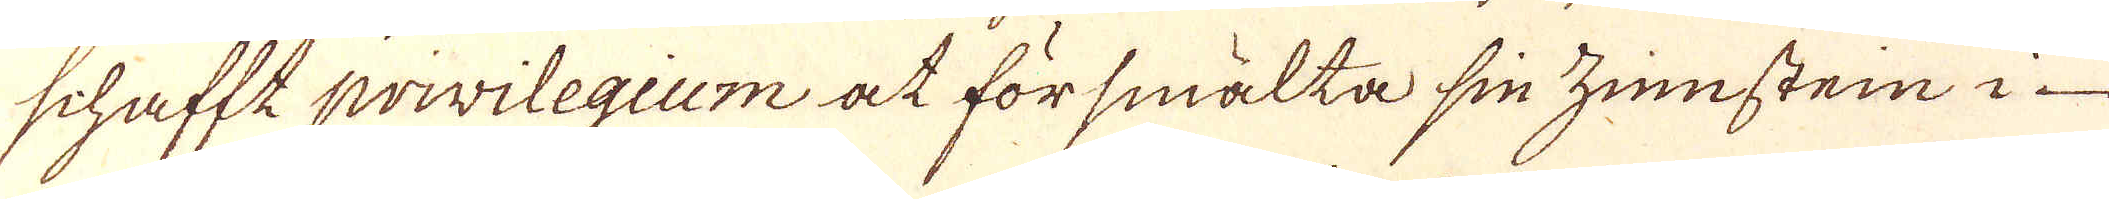schafft privilegium at försmälta sin zinsten i
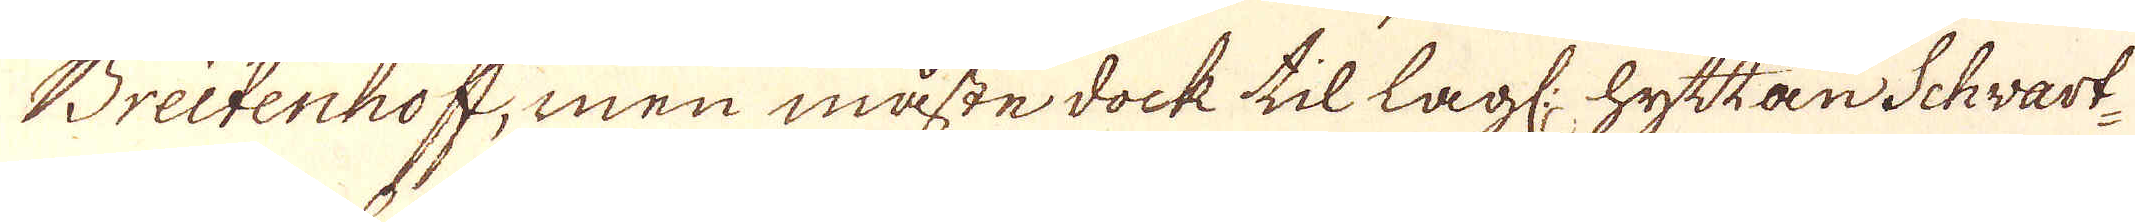Breitenhoff, men måste dock til lagl: hyttan Schwart-
